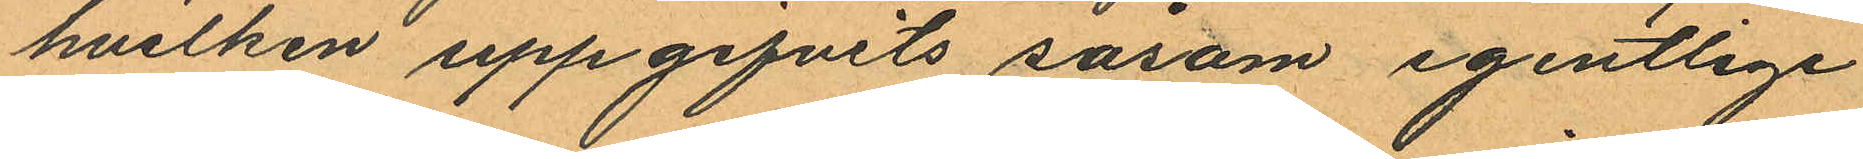hvilken uppgifvits såsom egentlige
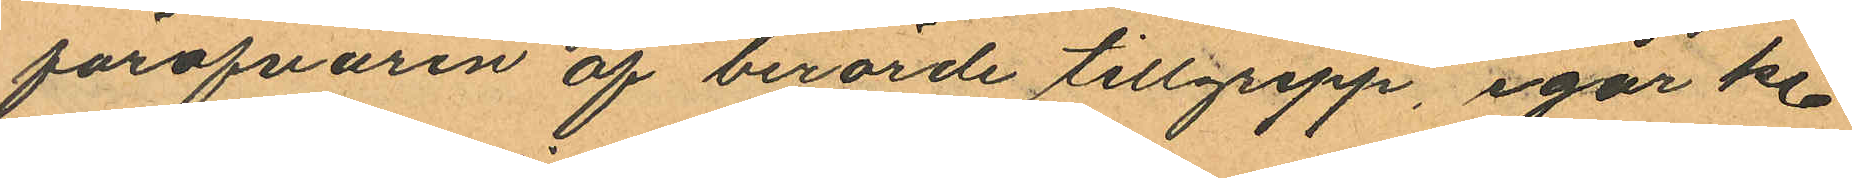föröfvaren af berörde tillgrepp, igår kl.
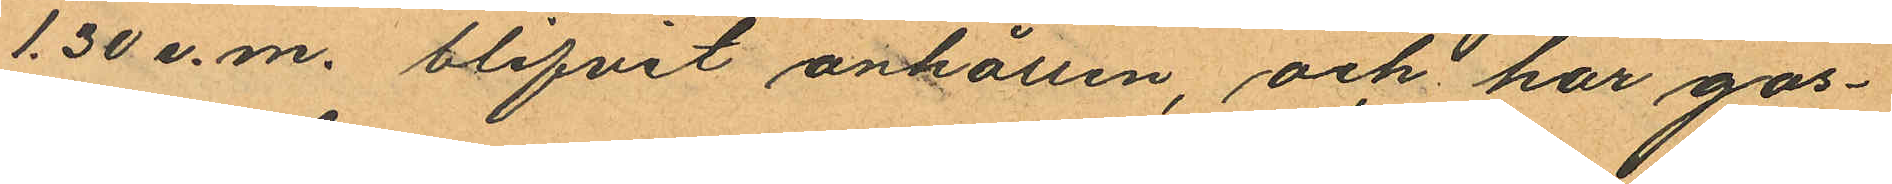1.30 e.m. blifvit anhållen, och har gos¬
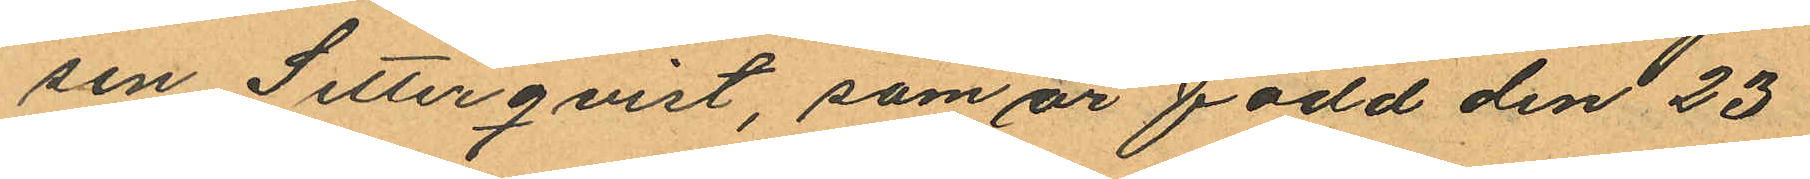sen Setterqvist, som är född den 23
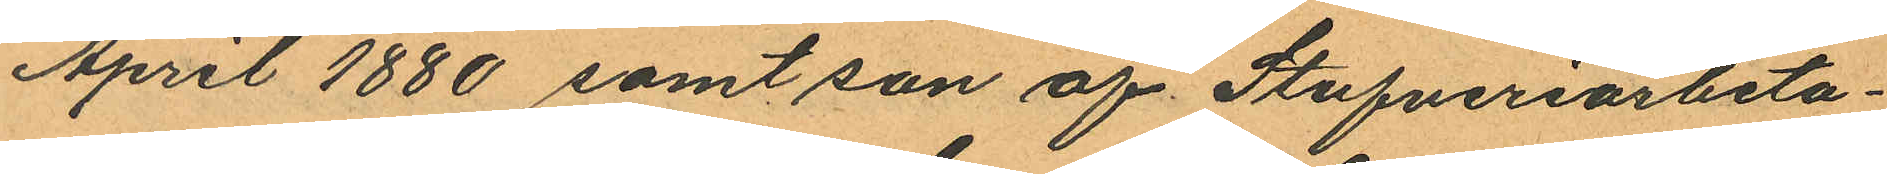April 1880 samt son af Stufveriarbeta¬
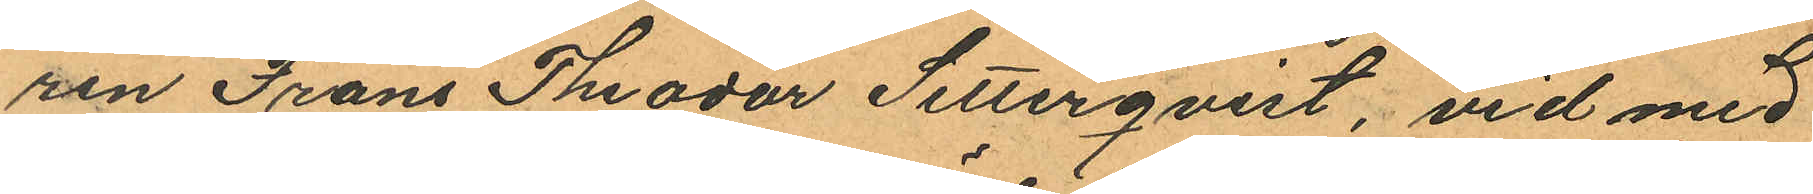ren Frans Theodor Setterqvist, vid med
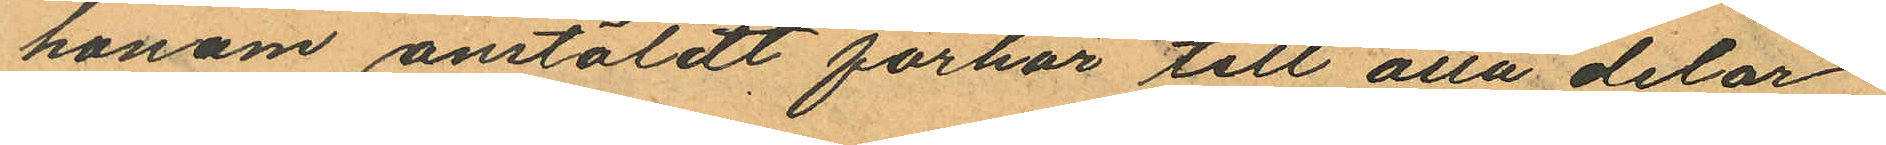honom anstäldt förhör till alla delar
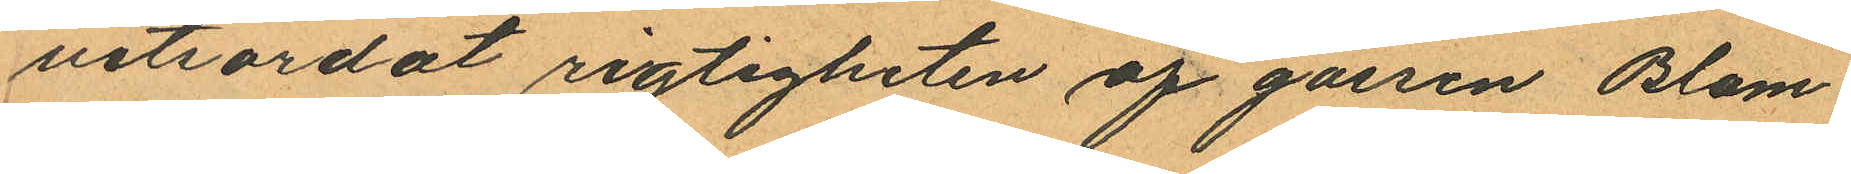vitsordat rigtigheten af gossen Blom
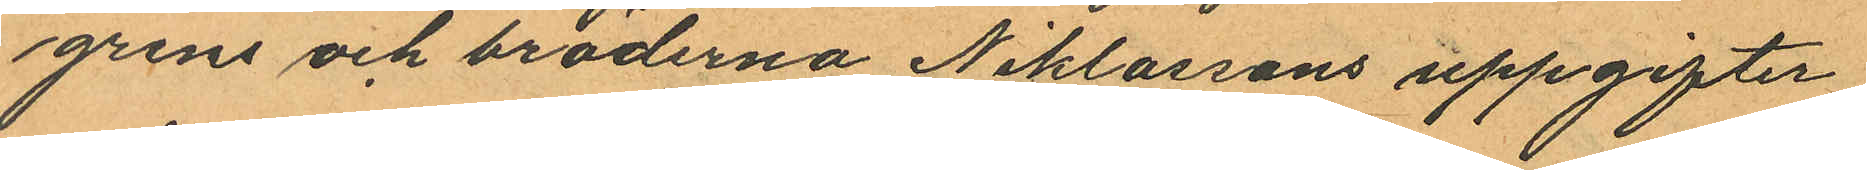grens och bröderna Niklassons uppgifter
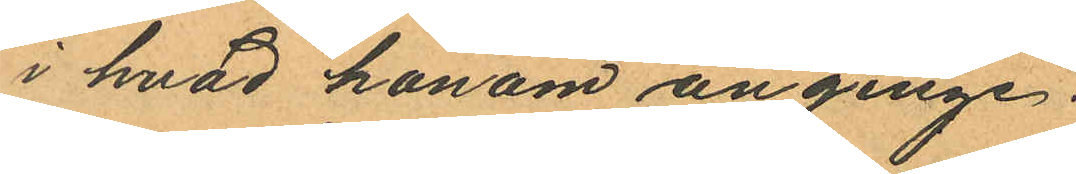i hvad honom anginge.
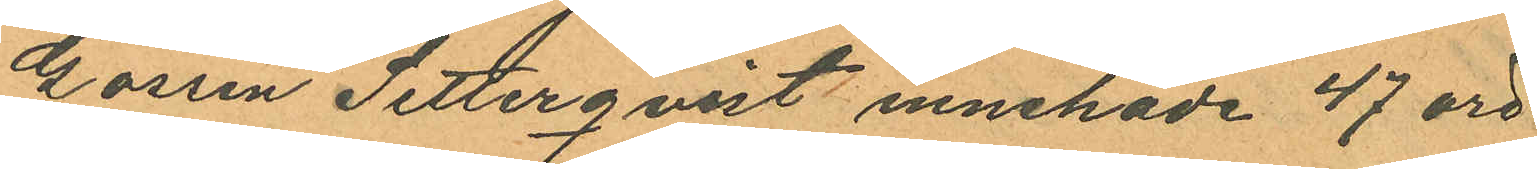Gossen Setterqvist innehade 47 öre
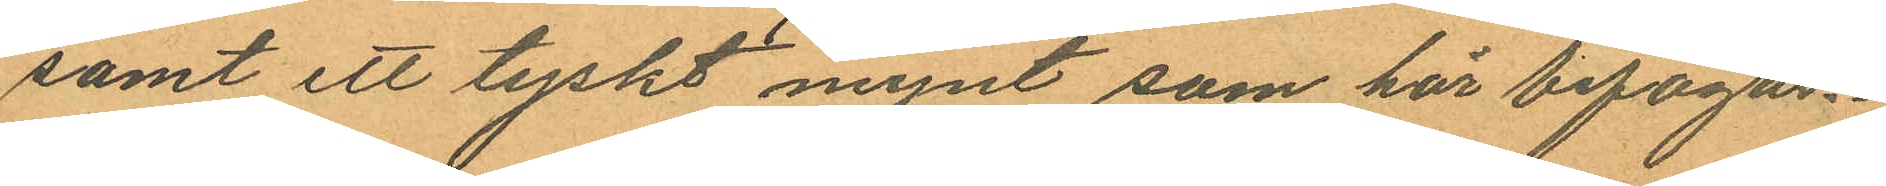samt ett tyskt mynt som här bifogas.
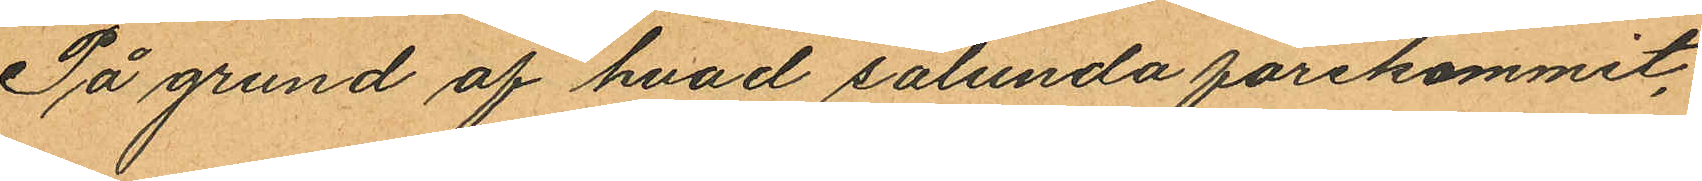På grund af hvad sålunda förekommit,
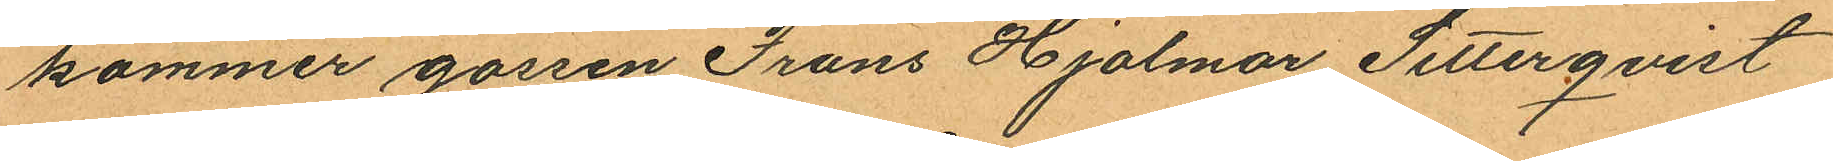kommer gossen Frans Hjalmar Setterqvist
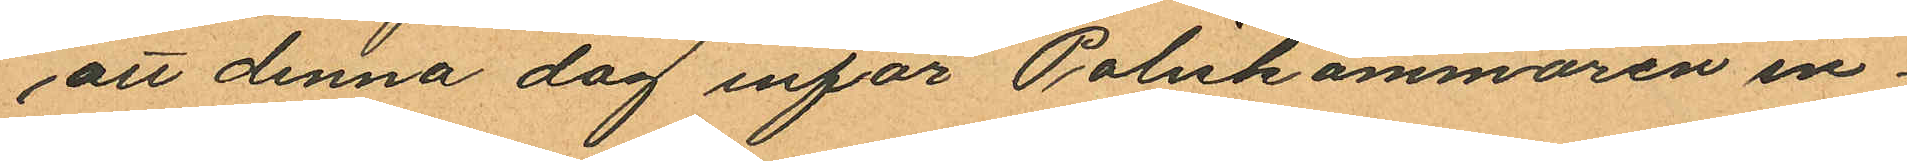att denna dag inför Poliskammaren in¬
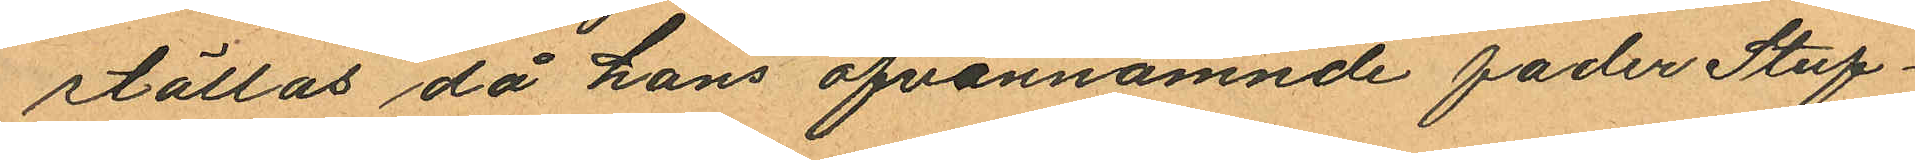ställas, då hans ofvannämnde fader Stuf¬
